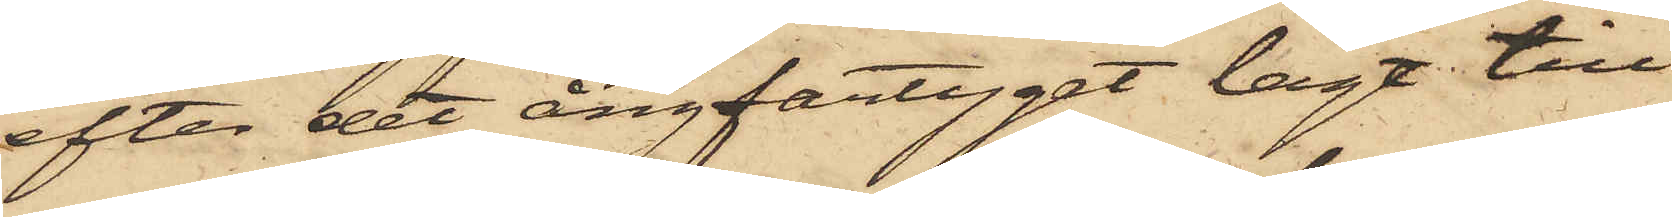efter det ångfartyget lagt till
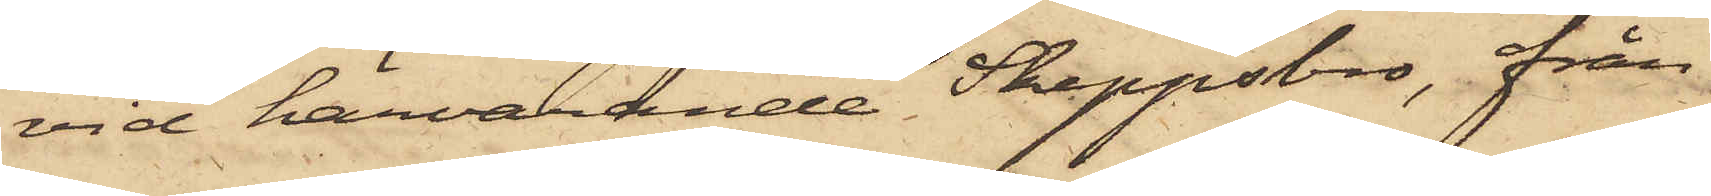vid härvarande Skeppsbro, från
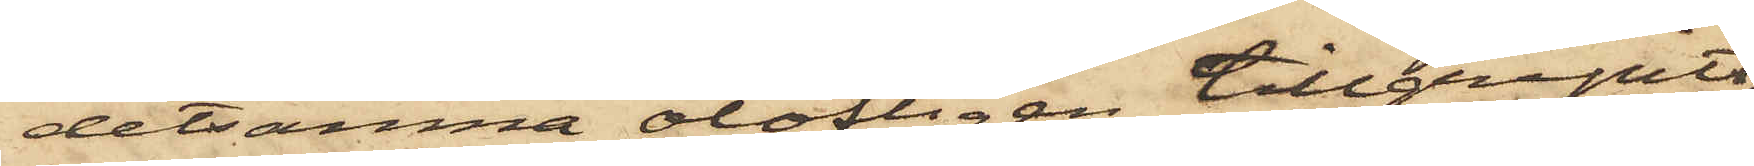detsamma olofligen tillgripits,
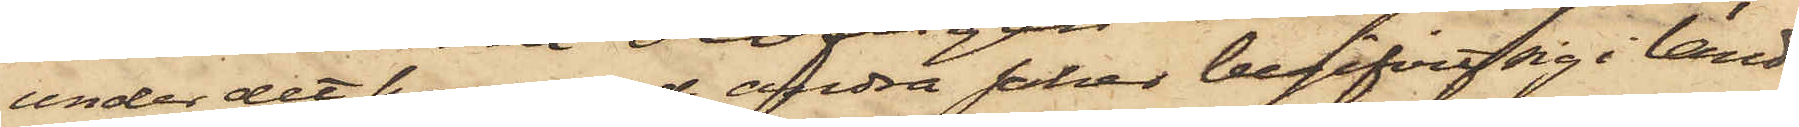under det hon med andra saker begifvit sig i land
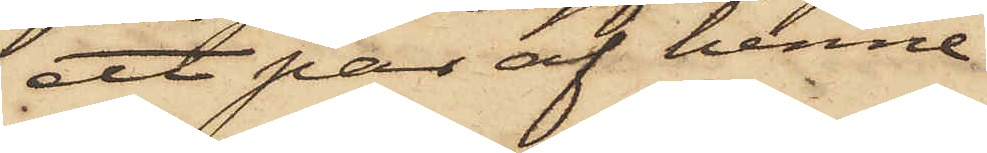ett par af henne
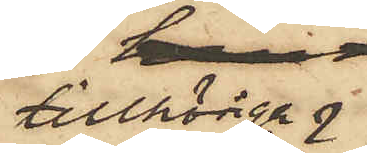tillhöriga 
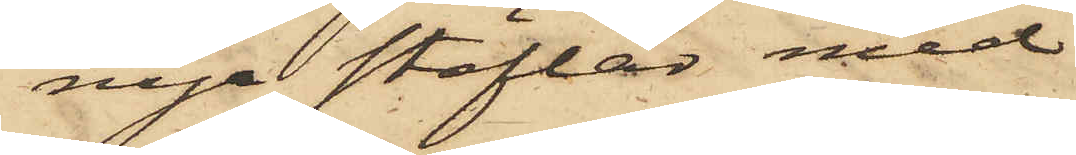nya stöflar med
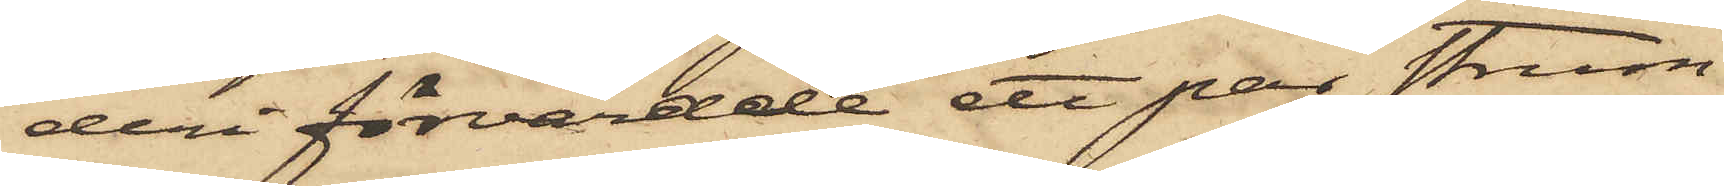deri förvarade ett par strum¬
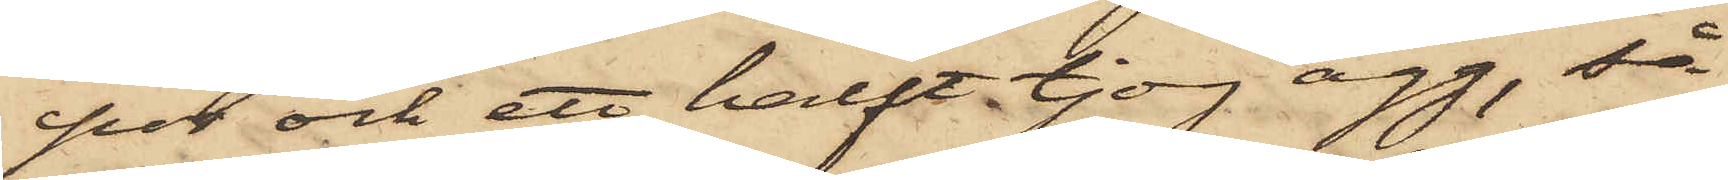por och ett halft tjog ägg, så
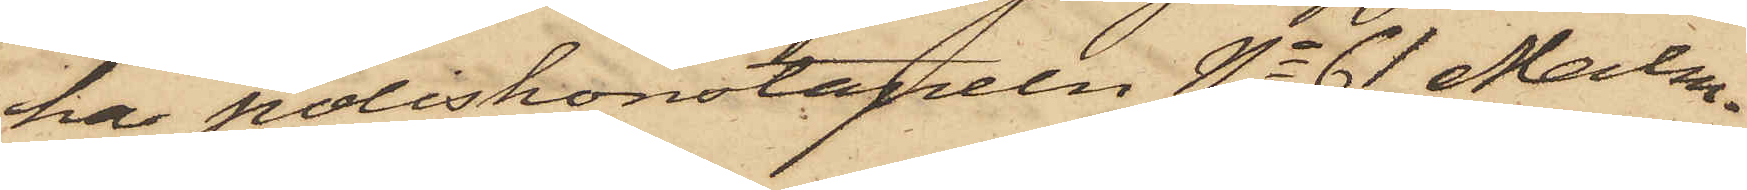har poliskonstapeln No 61 Malm¬
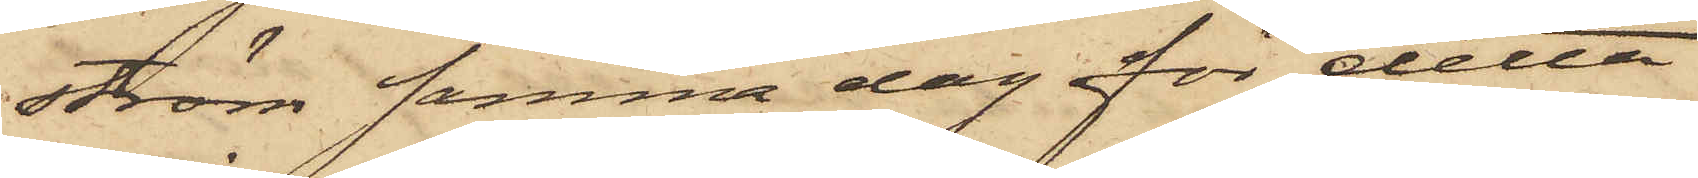ström samma dag för detta
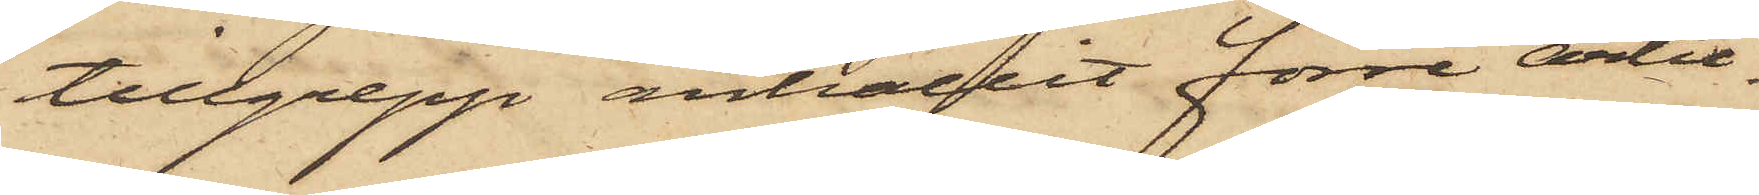tillgrepp anhållit förre artil.
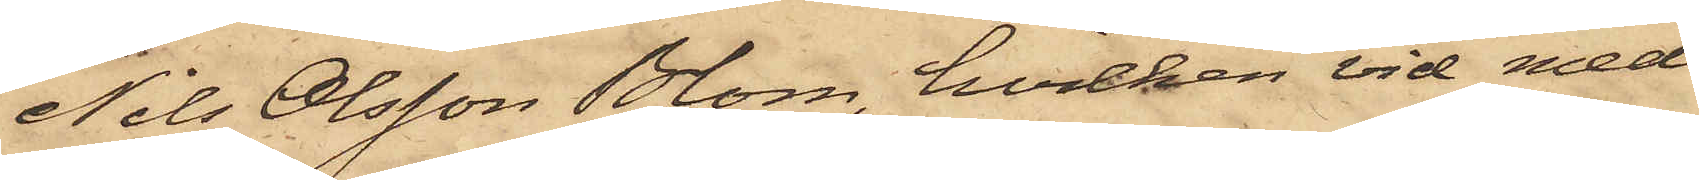Nils Olsson Blom, hvilken vid med
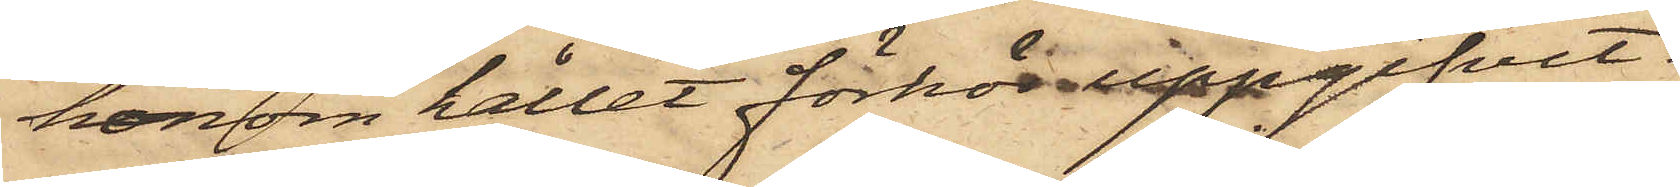honom hållet förhör uppgifvit:
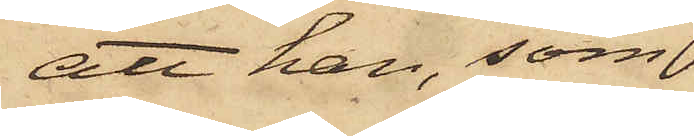att han, som
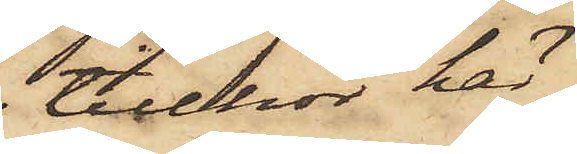tillhör här¬
